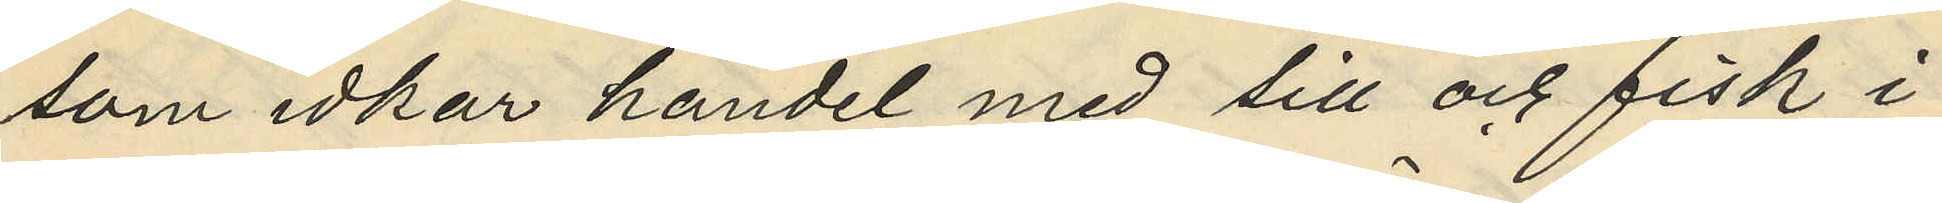som idkar handel med sill och fisk i
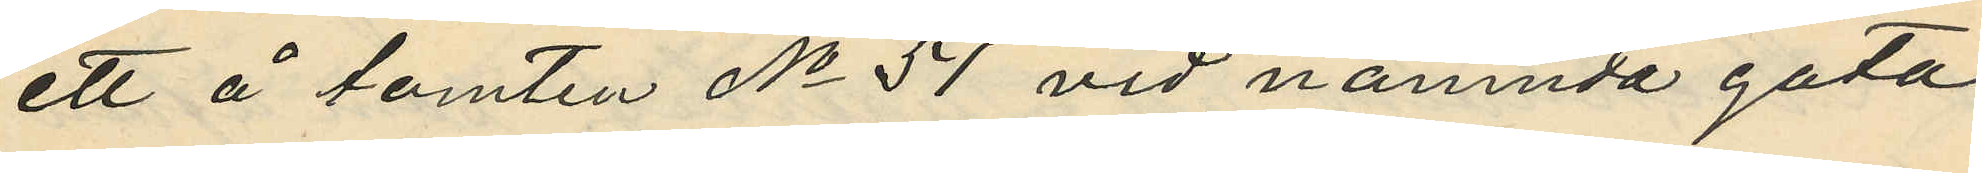ett å tomten No 51 vid nämnda gata
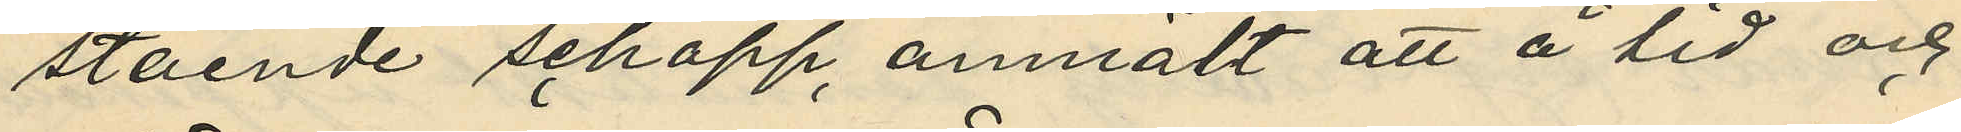stående schapp, anmält att å tid och
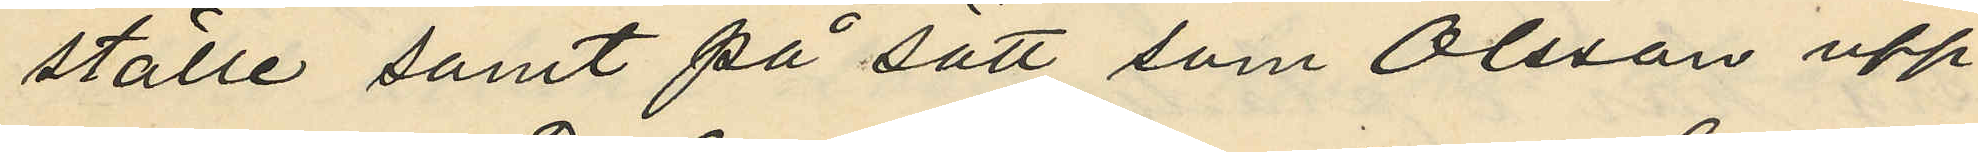ställe samt på sätt som Olsson upp¬
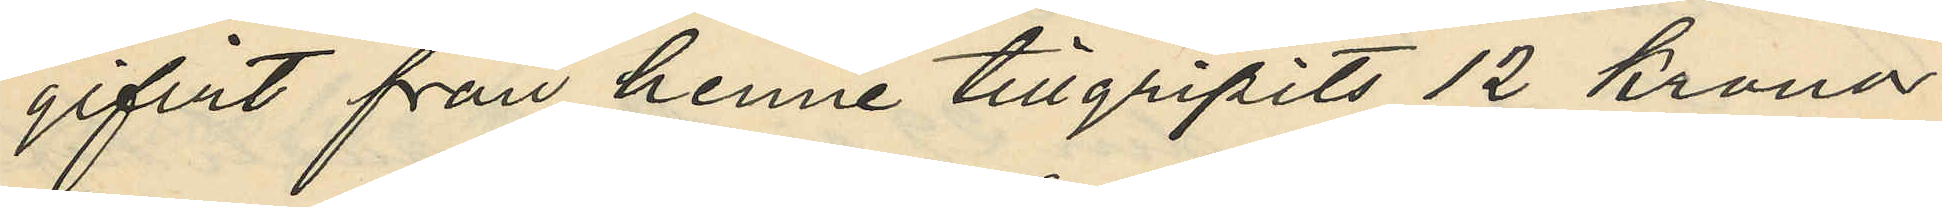gifvit från henne tillgripits 12 Kronor
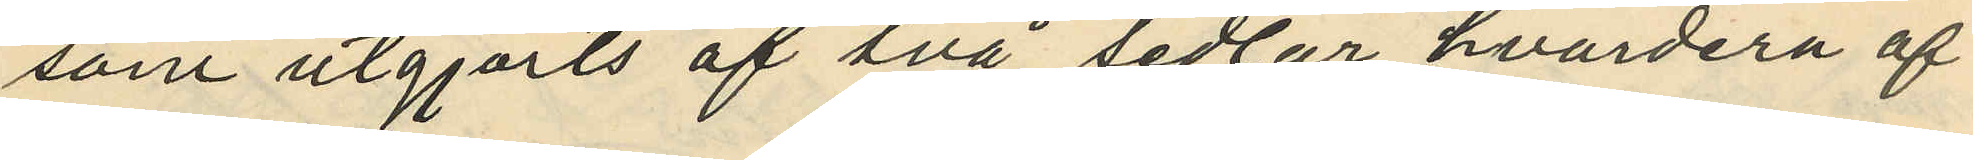som utgjorts af två sedlar hvardera af
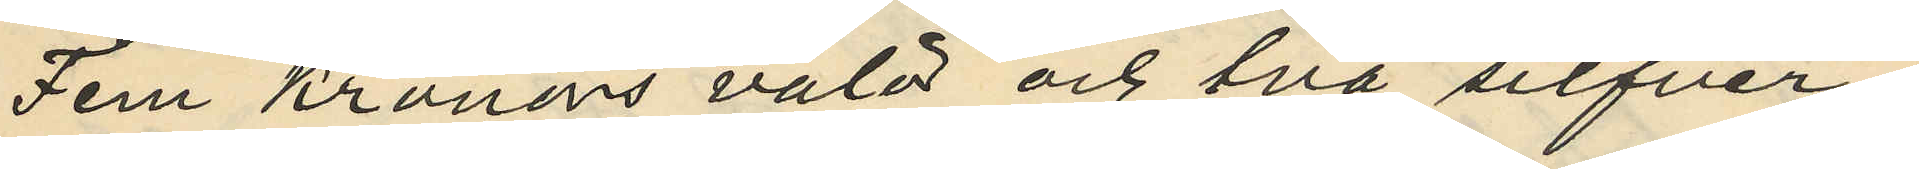Fem Kronens valör och två silfver¬
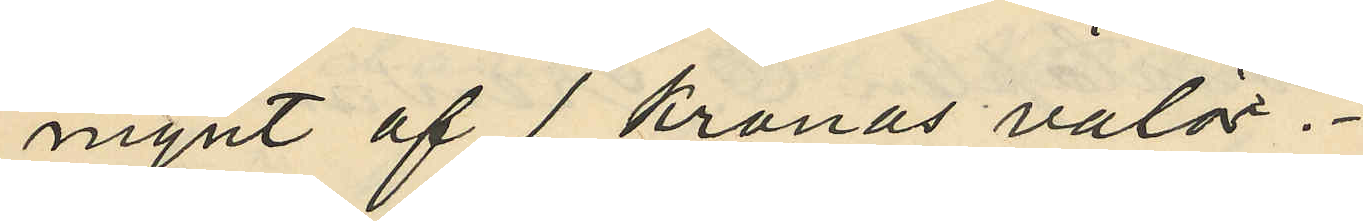mynt af 1 kronas valör.
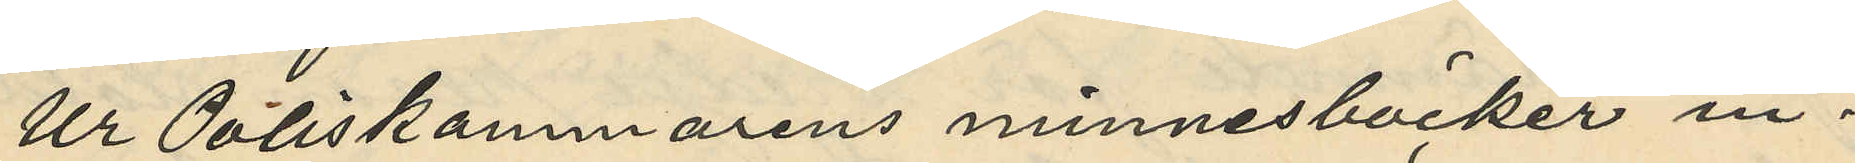Ur Poliskammarens minnesböcker in¬
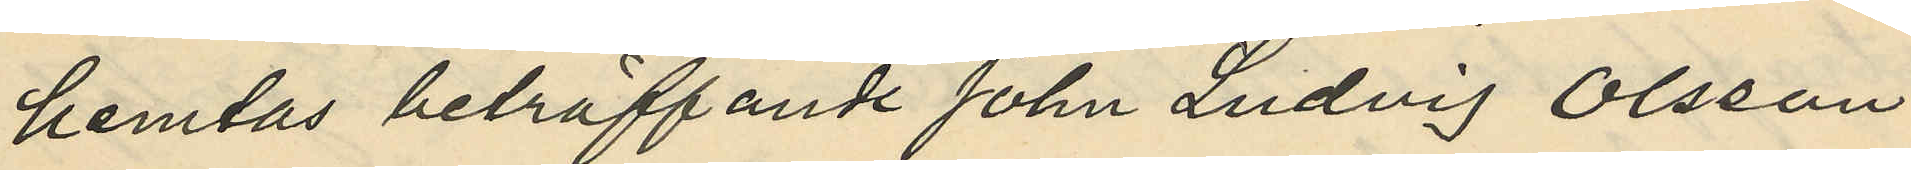hemtas beträffande John Ludvig Olsson
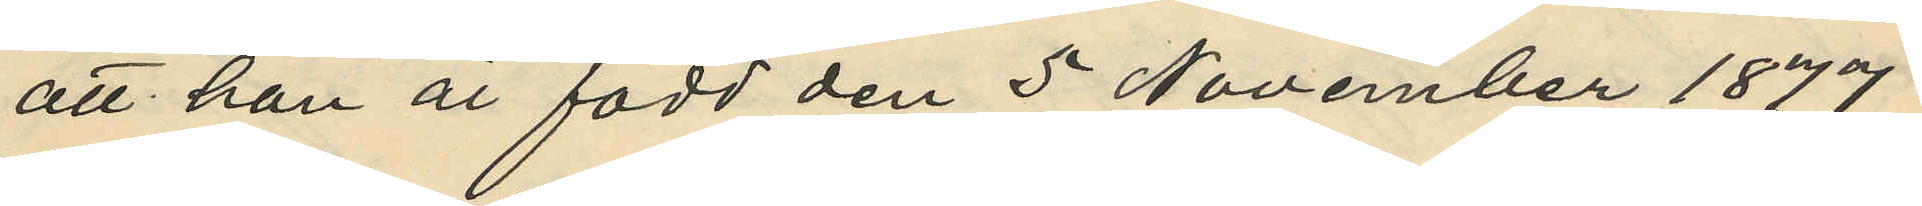att han är född den 5 November 1879
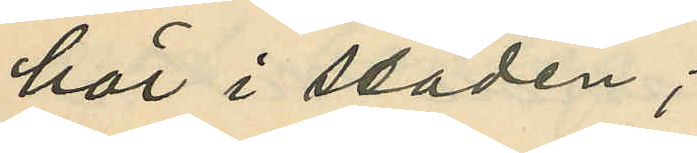här i staden;
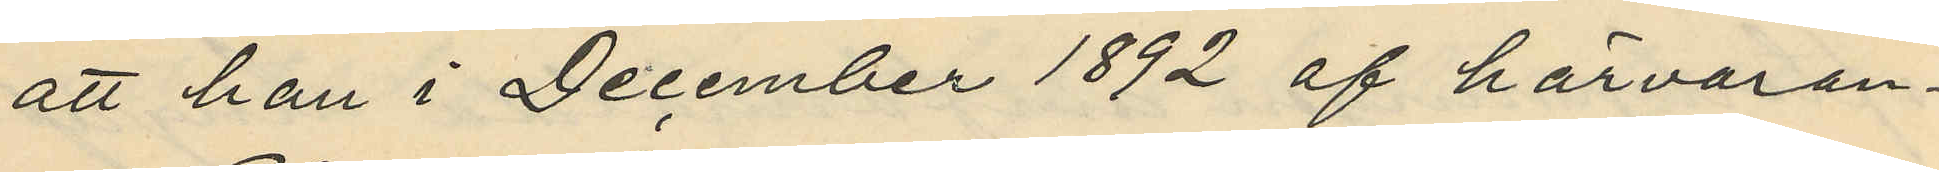att han i December 1892 af härvaran¬
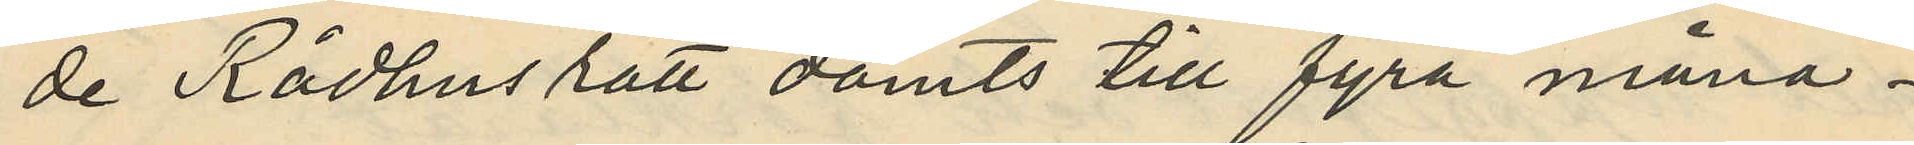de Rådhusrätt dömts till fyra måna¬
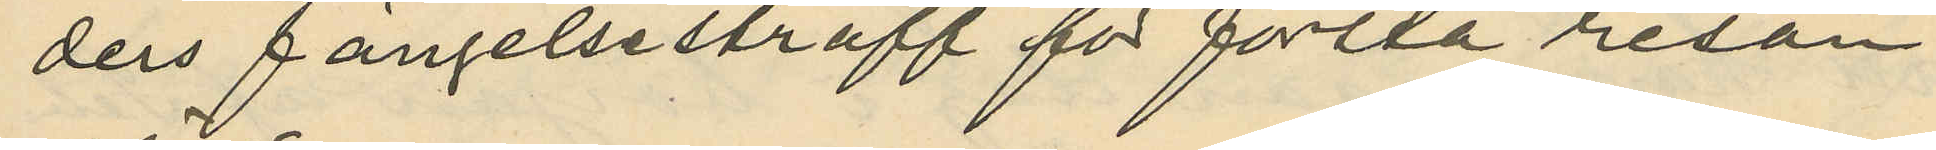ders fängelsestraff för första resan
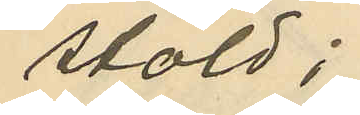stöld;
